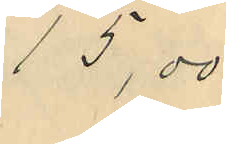15,00
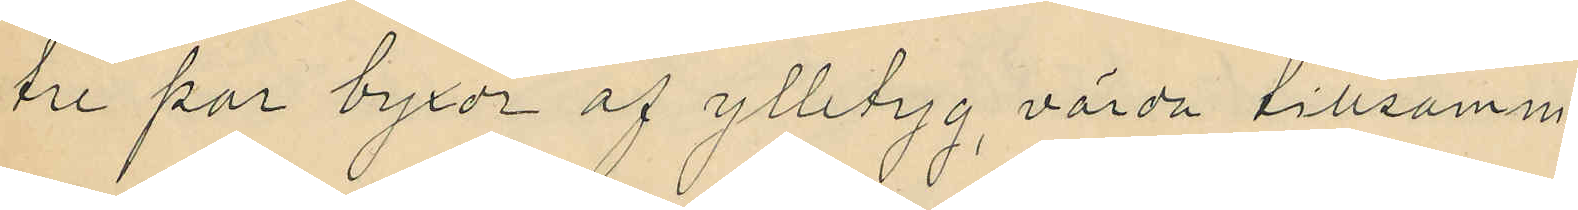tre par byxor af ylletyg värda tillsamm.
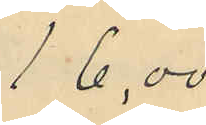16,00
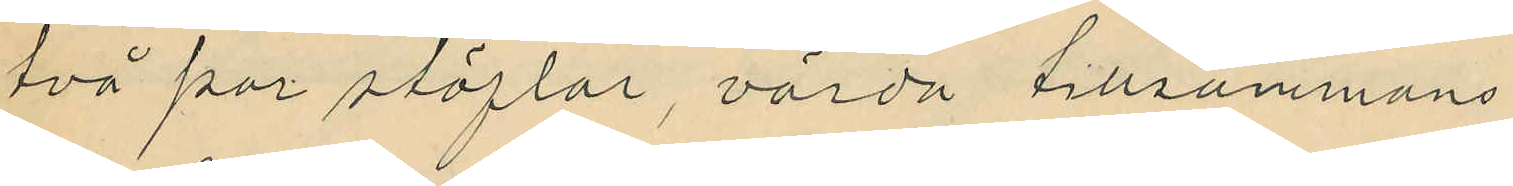två par stöflar, värda tillsammans
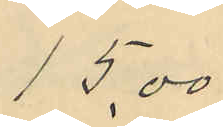15,00
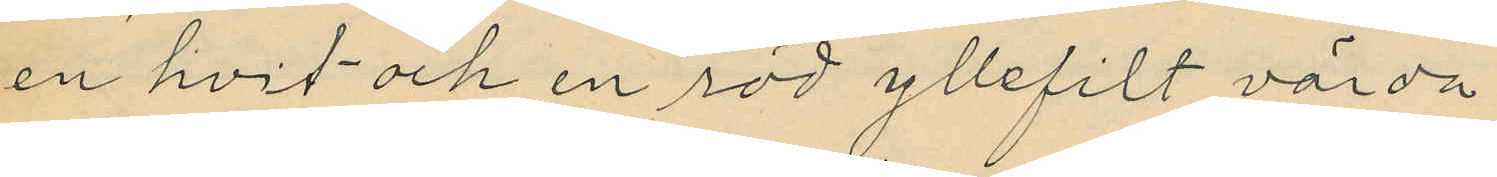en hvit och en röd yllefilt värda
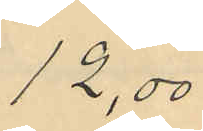12,00
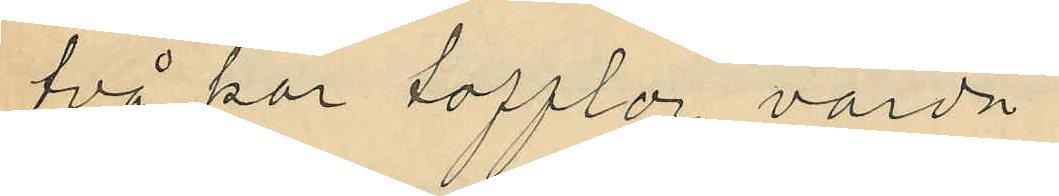två har tofflor värda
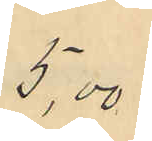5,00
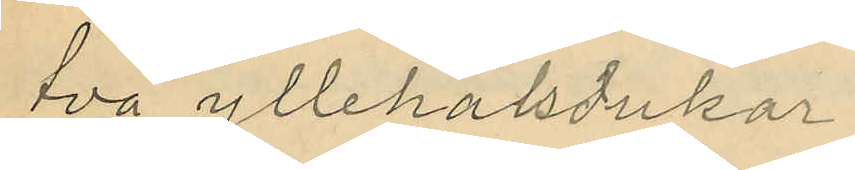två yllehalsdukar
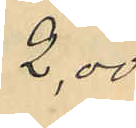2,00
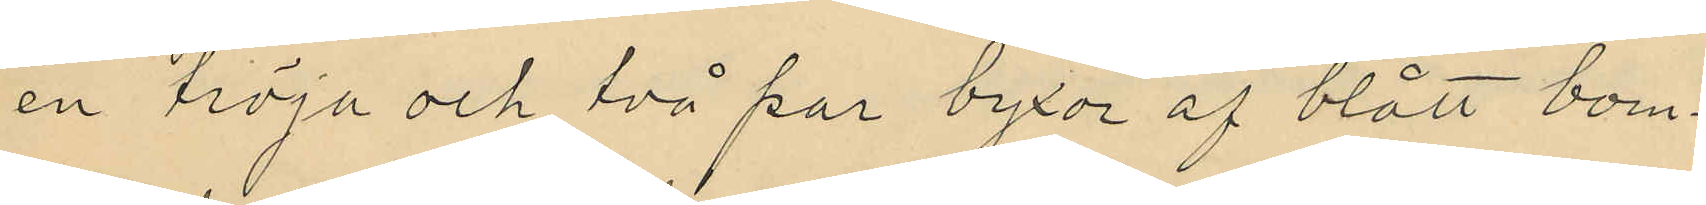en tröja och två par byxor af blått bom¬
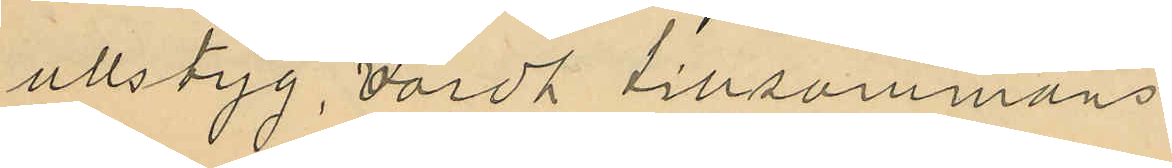ullstyg, värdt tillsammans
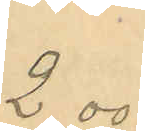2.00
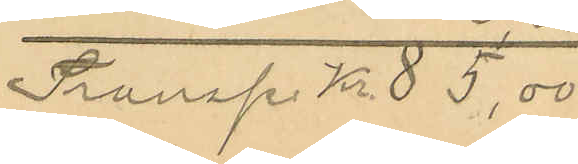Transp kr. 85,00
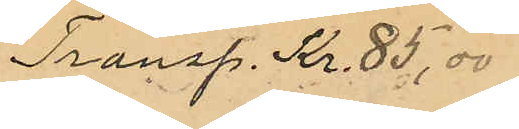Transp. Kr. 85,00
